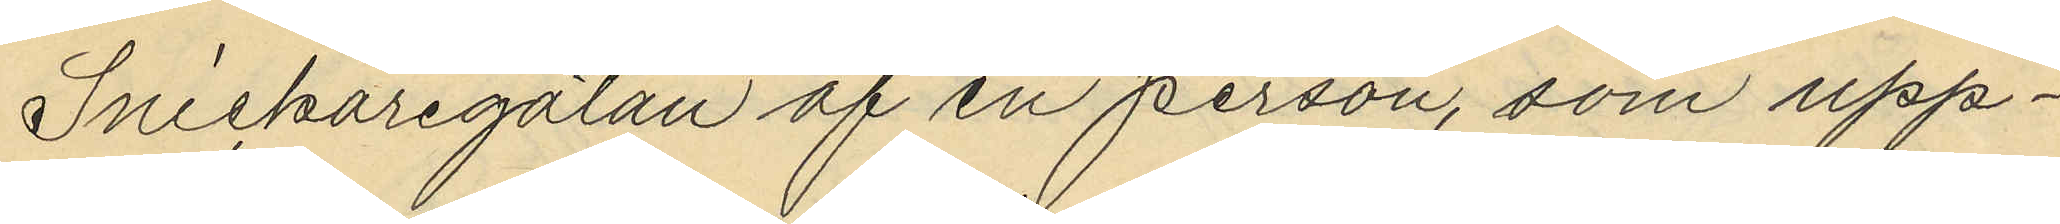Snickaregatan af en person, som upp¬
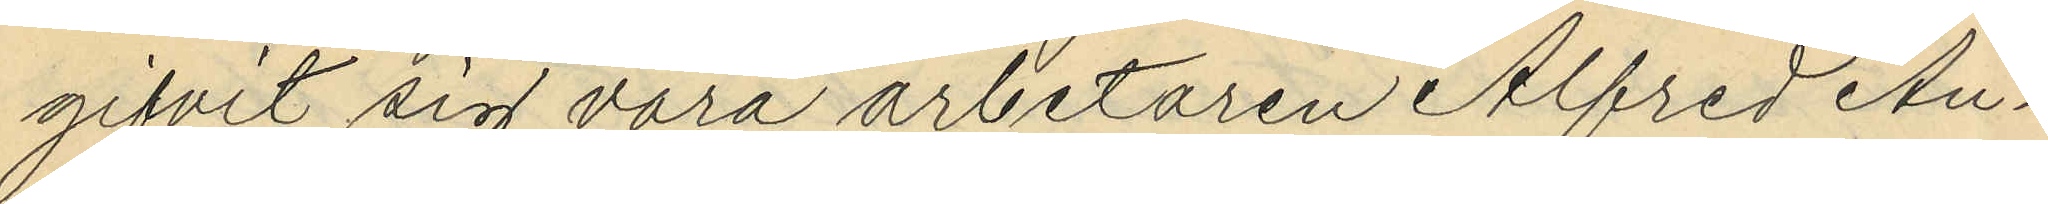gifvit sig vara arbetaren Alfred An¬
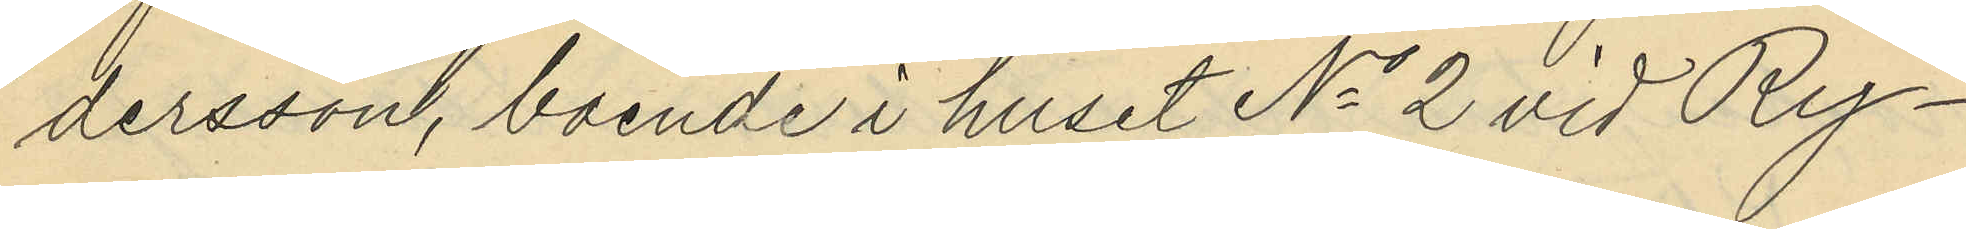dersson, boende i huset No 2 vid Ry¬
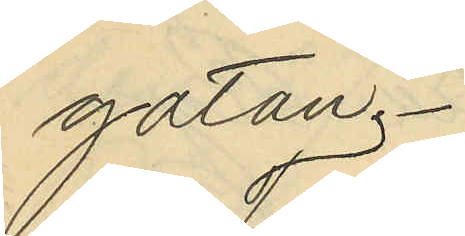gatan.
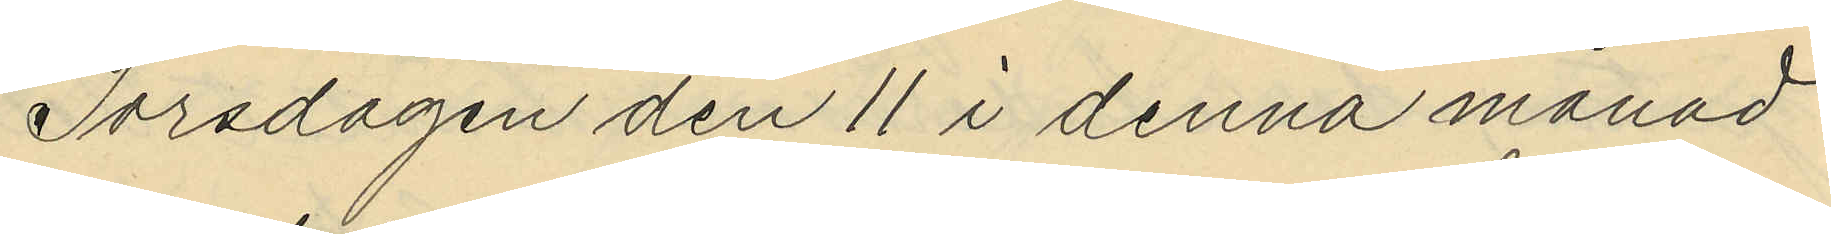Torsdagen den 11 i denna månad
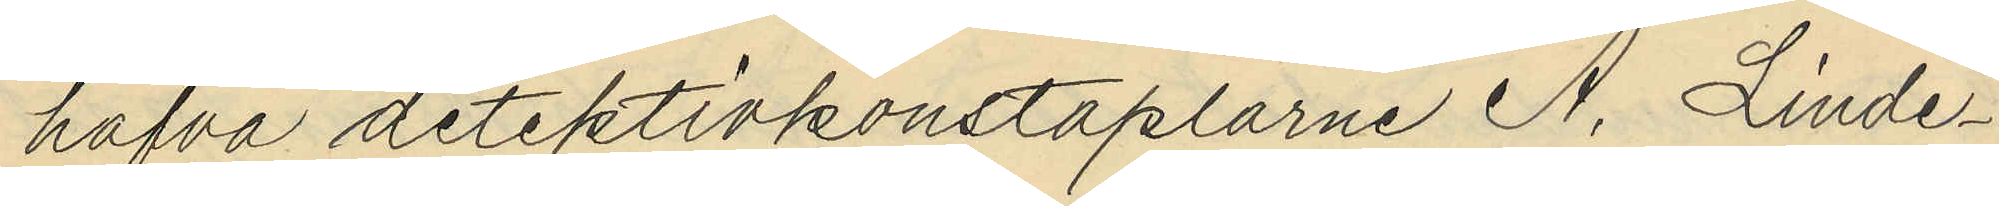hafva detektivkonstaplarne A. Linde¬
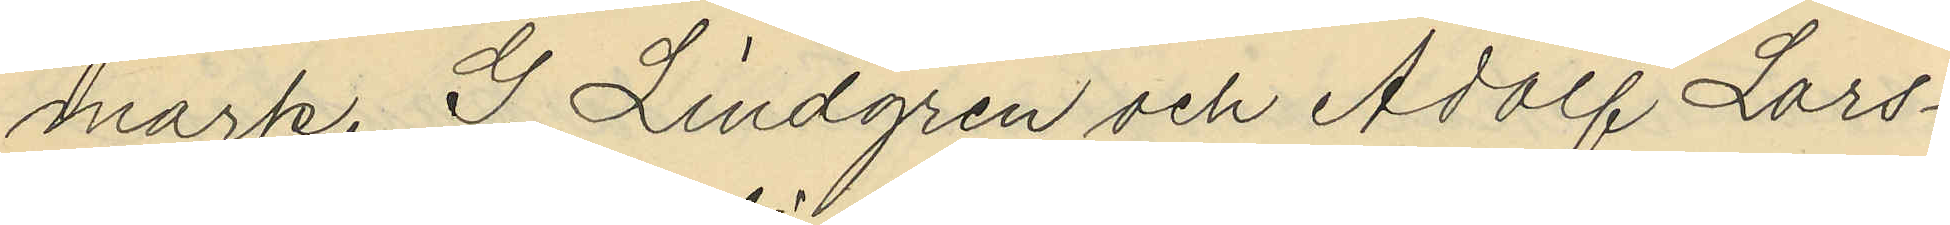mark, G. Lindgren och Adolf Lars¬
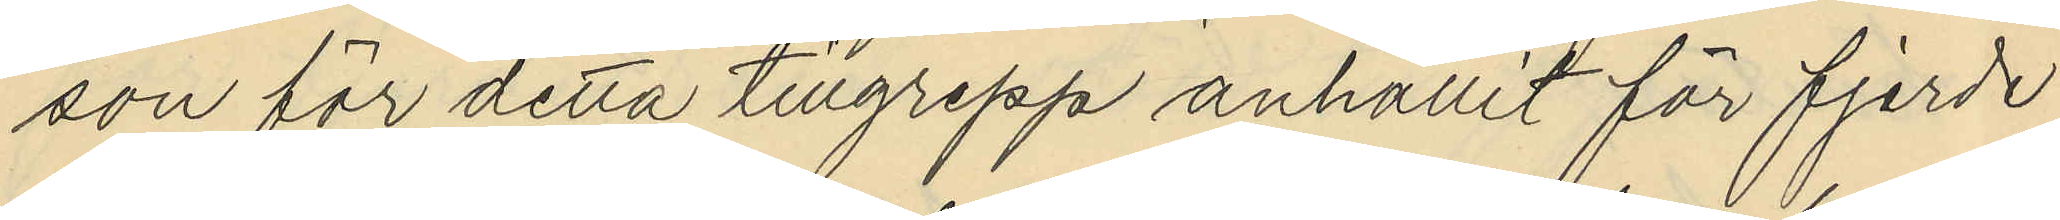son för detta tillgrepp anhållit för fjerde
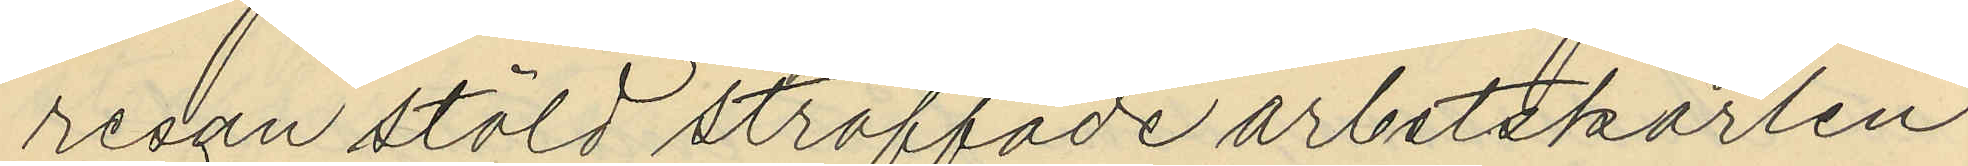redan stöld straffade arbetskarlen
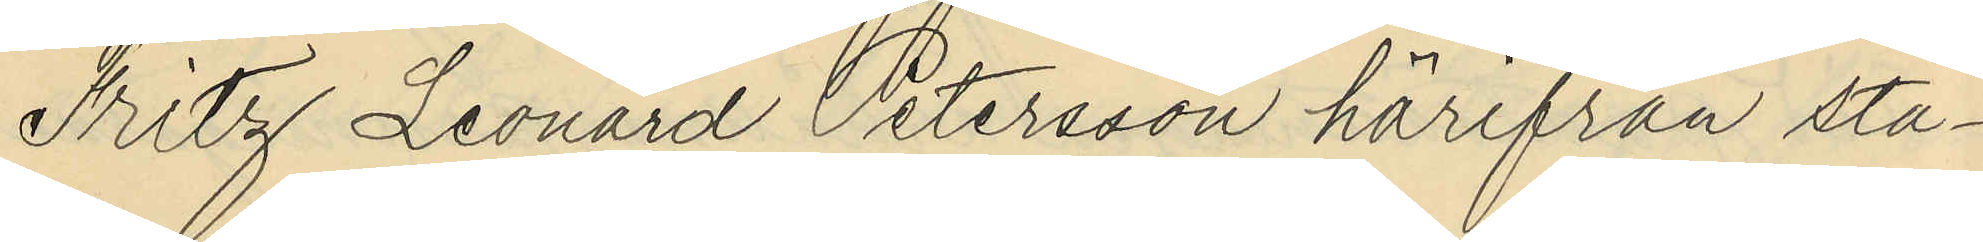Fritz Leonard Petersson härifrån sta¬
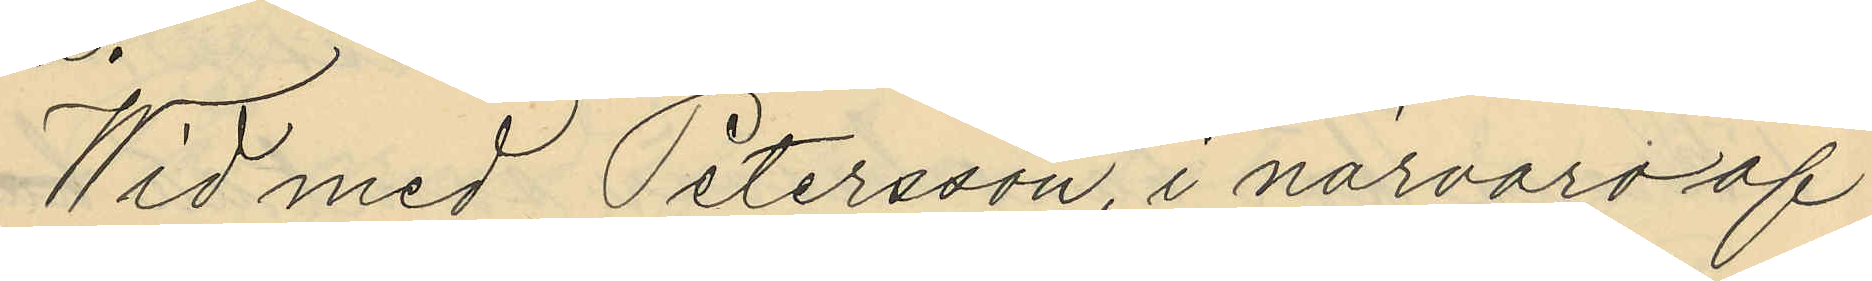Wid med Petersson, i närvaro af
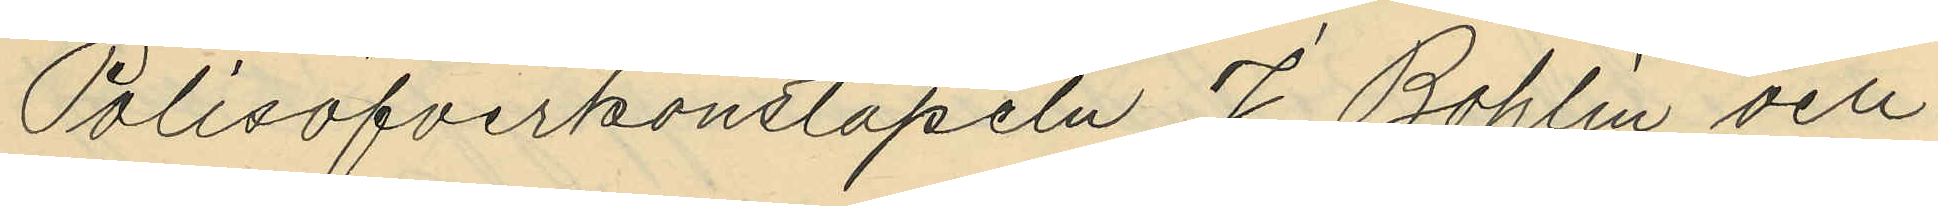Polisöfverkonstapeln J. Bohlin och
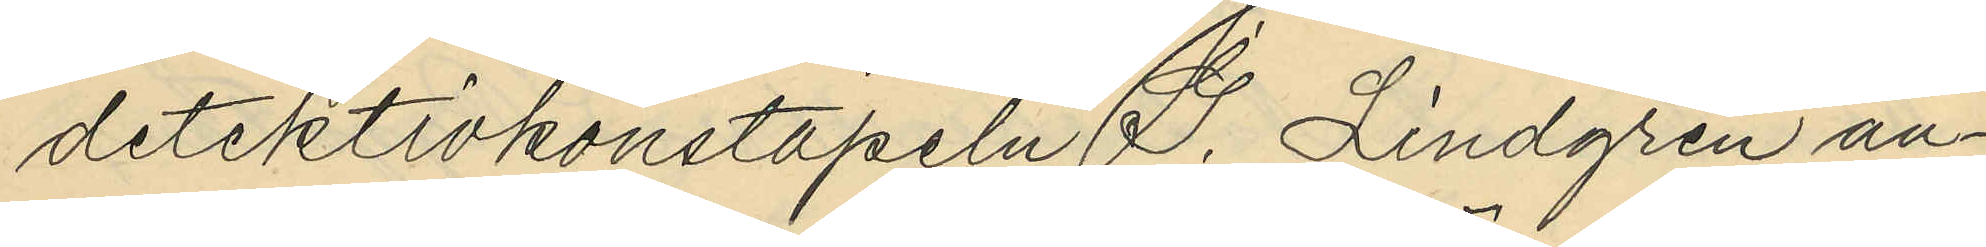detektivkonstapeln J. Lindgren an¬
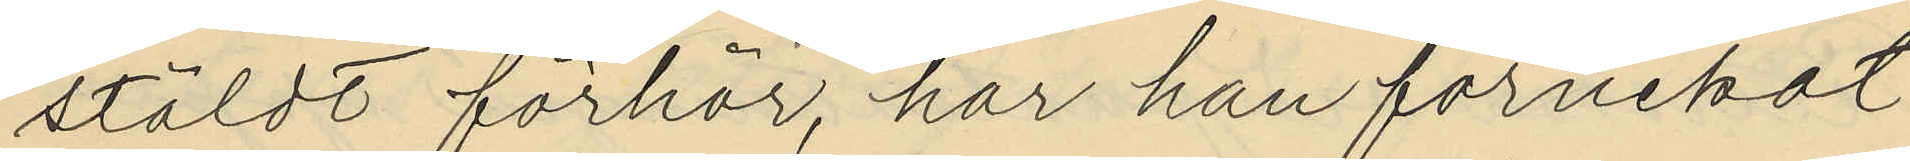stäldt förhör, har han förnekat
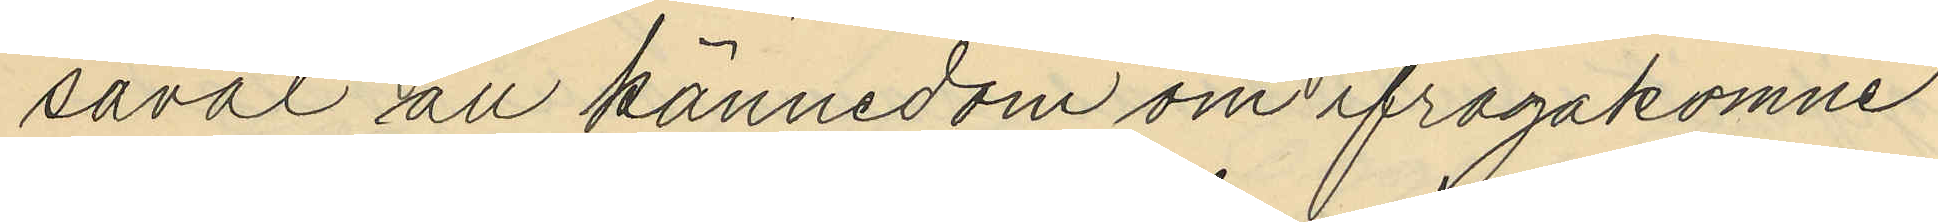såväl all kännedom om ifrågakomne
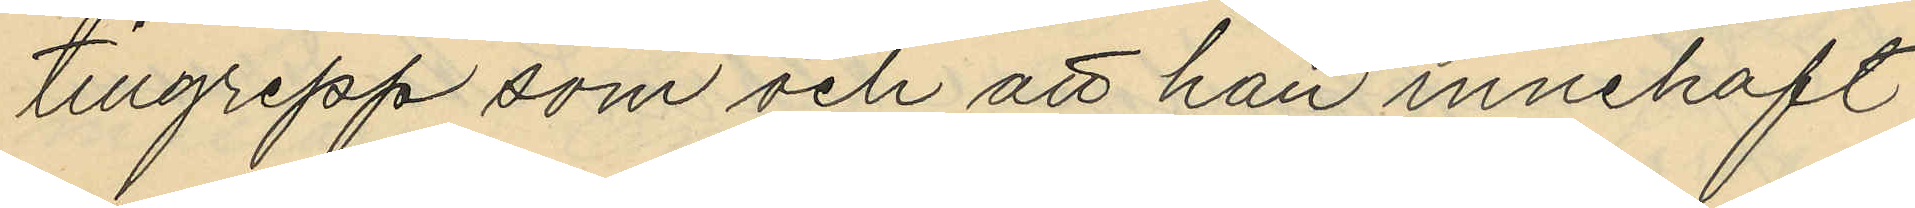tillgrepp som och att han innehaft
